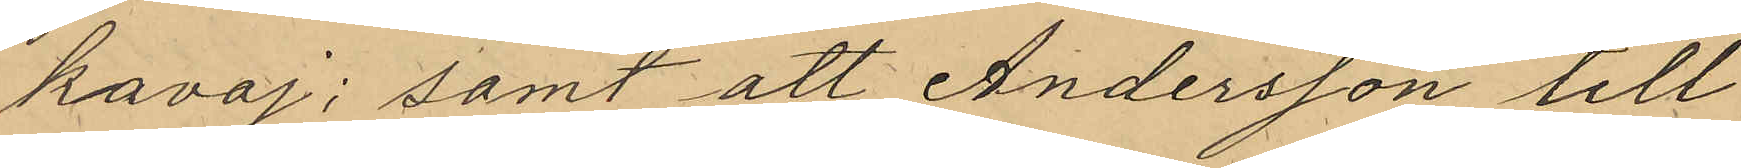kavaj; samt att Andersson till
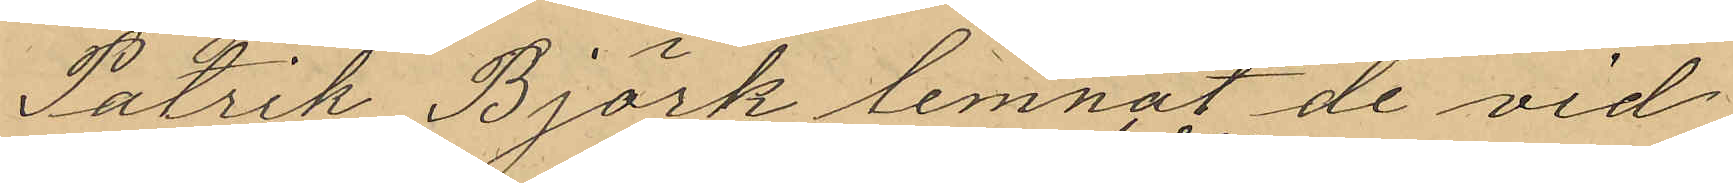Patrik Björk lemnat de vid
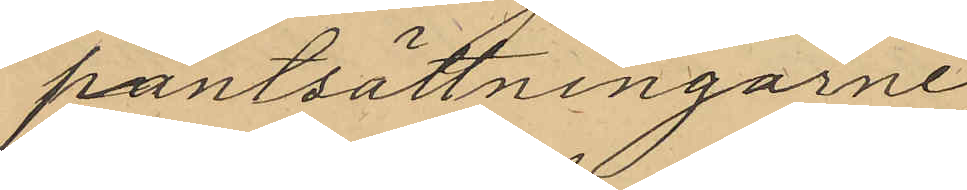pantsättningarne
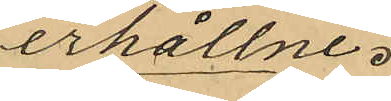erhållne.
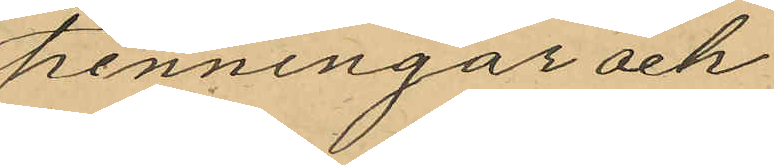penningar och
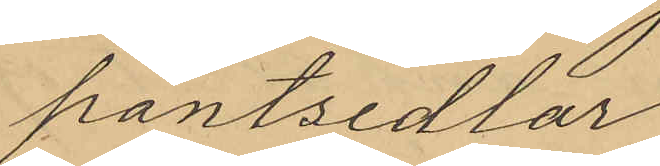pantsedlar
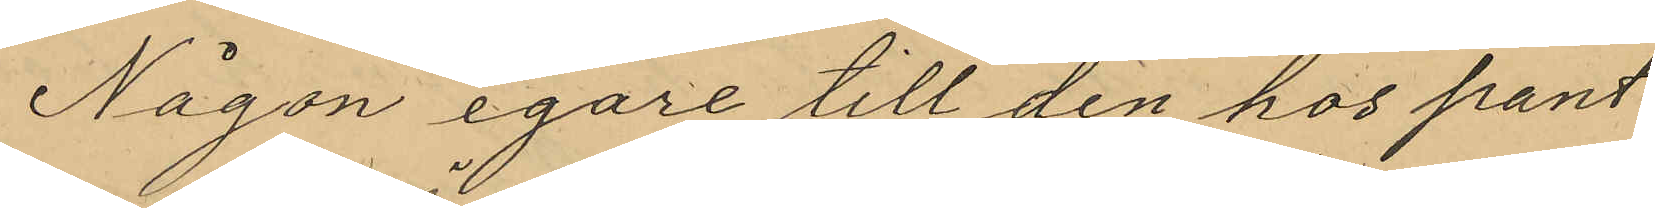Någon egare till den hos pant¬
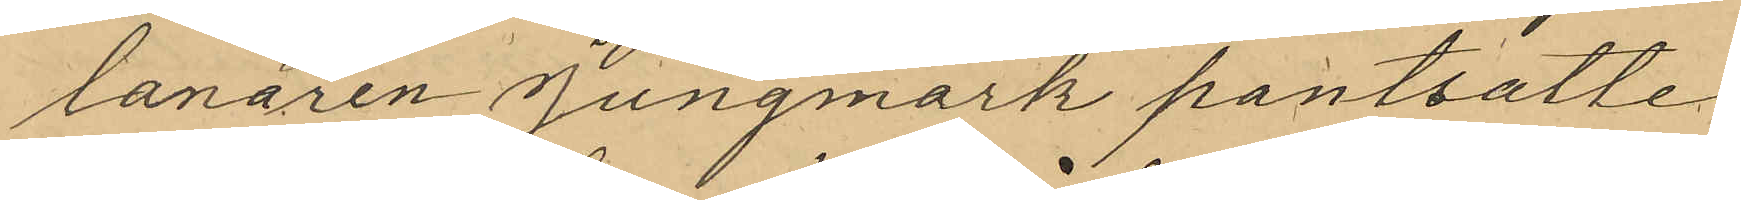lanaren Jungmark pantsatte
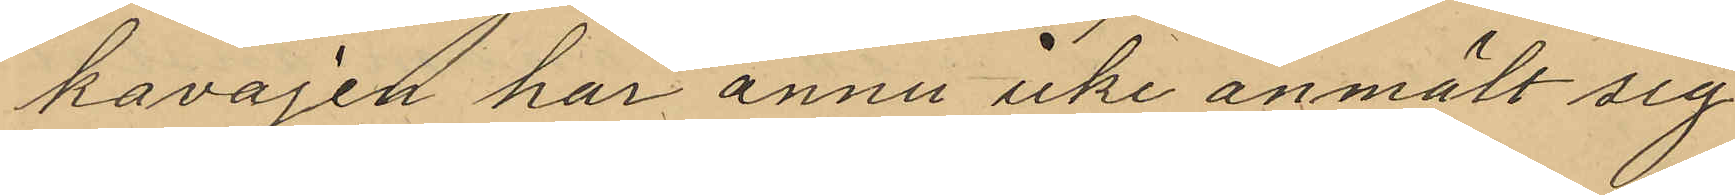kavajen har ännu icke anmält sig
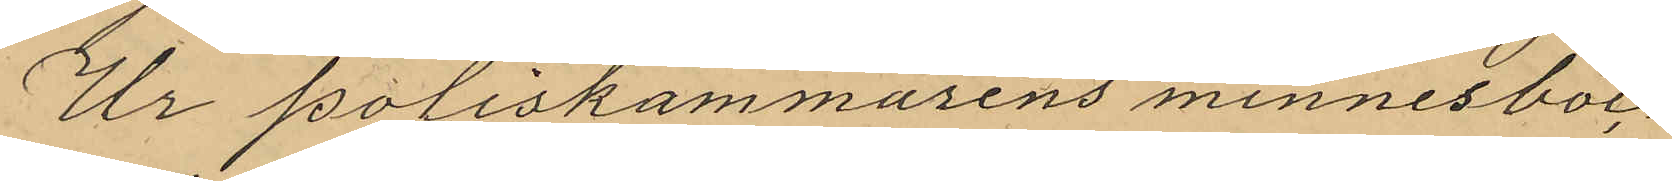Ur Poliskammarens minnesboc¬
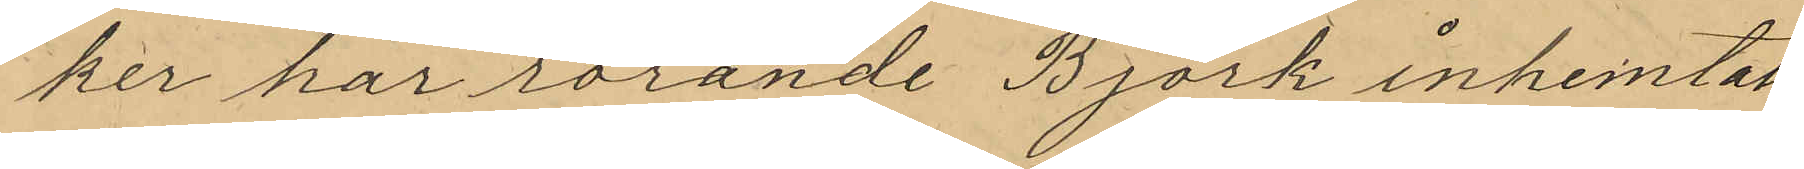ker har rörande Björk inhemtats
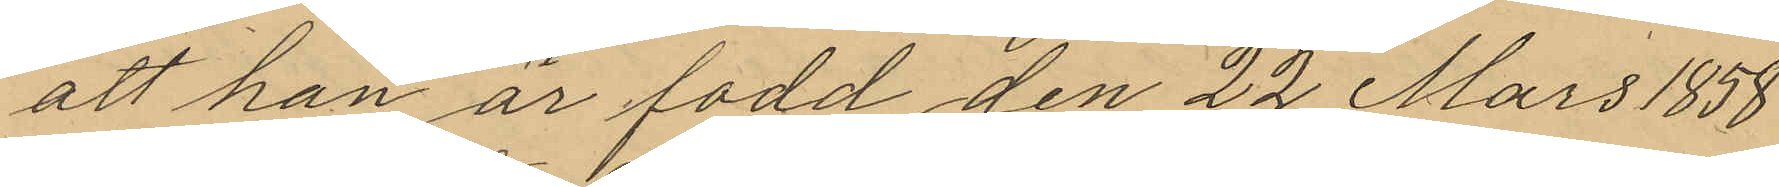att han är fodd den 22 Mars 1858
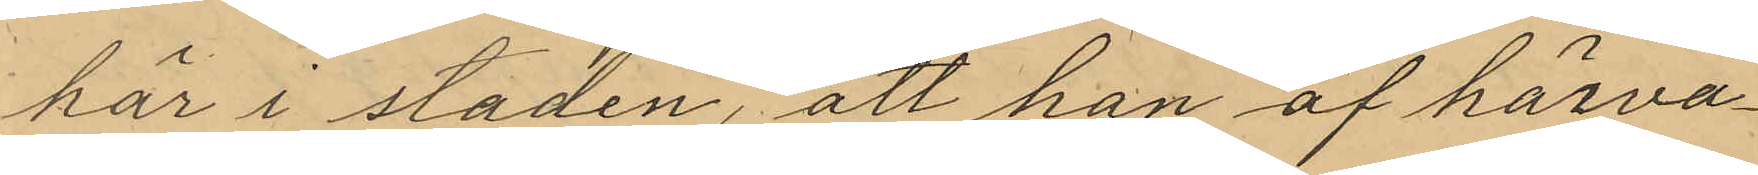här i staden, att han af härva¬
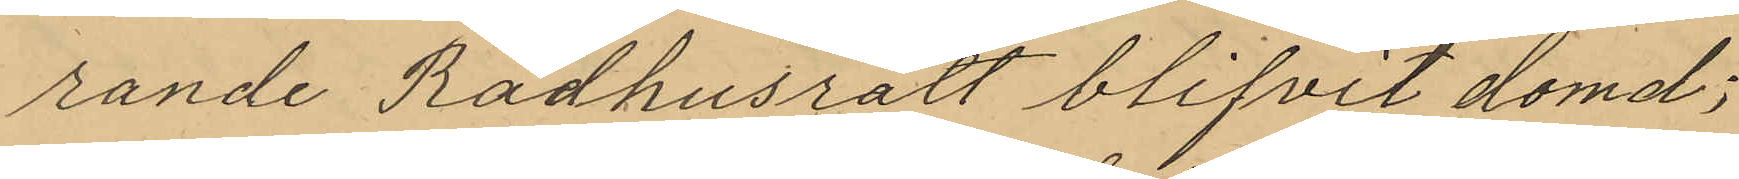rande Rådhusrätt blifvit domd;
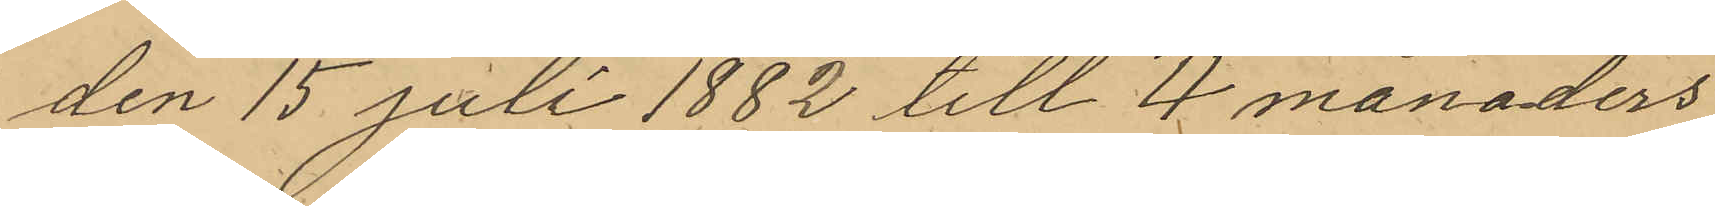den 15 Juli 1882 till 4 månaders
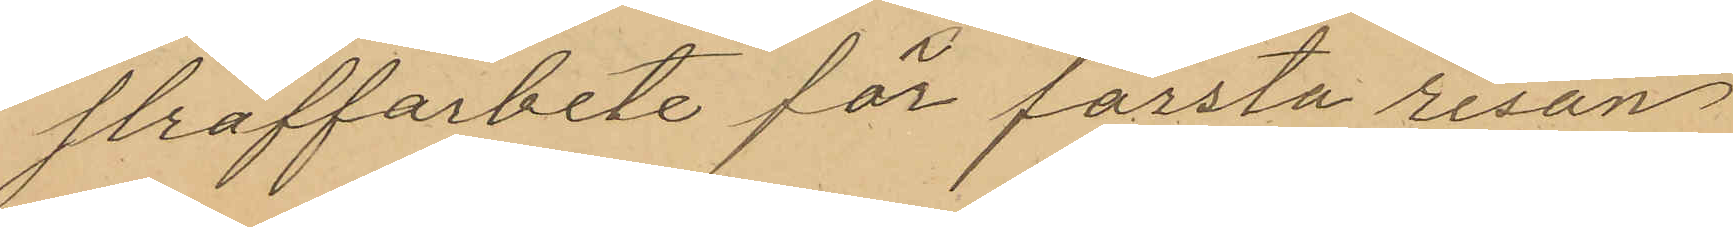straffarbete för första resan
